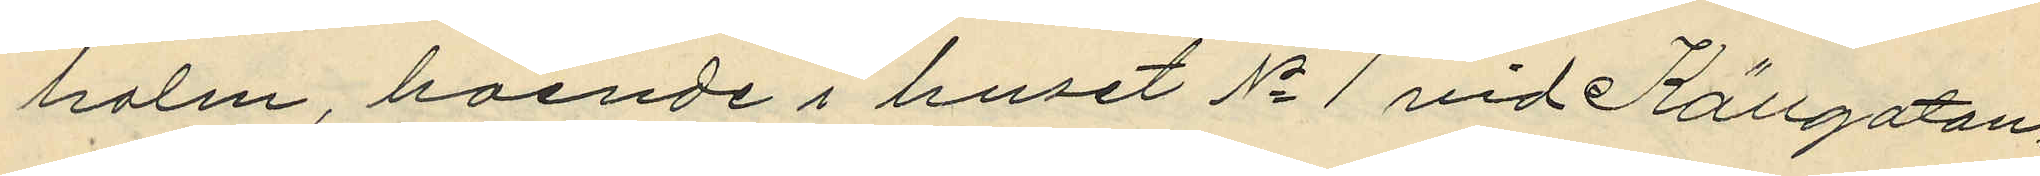holm boende i huset No 1 vid Källgatan
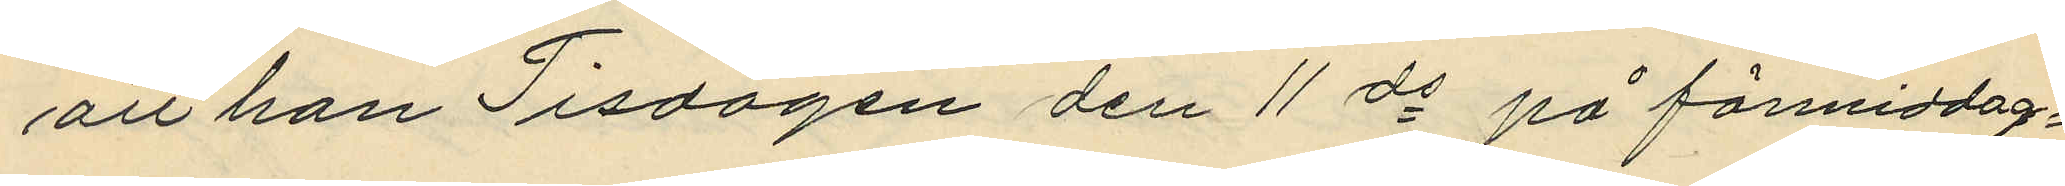att han Tisdagen den 11 ds på förmiddag¬
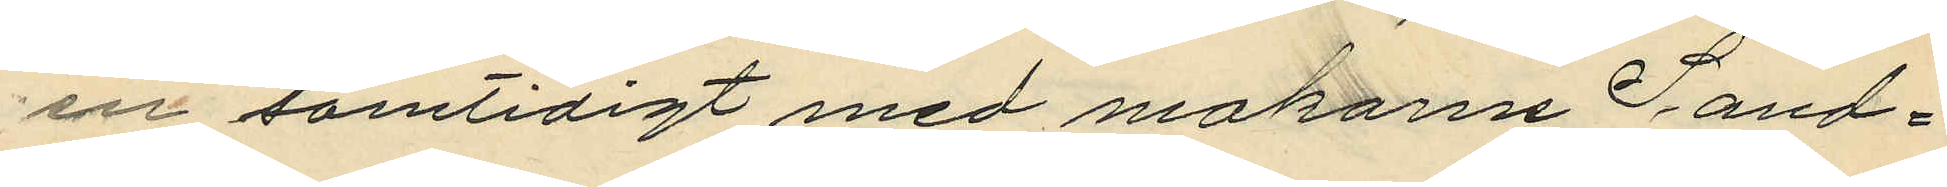en samtidigt med makarna Sand¬
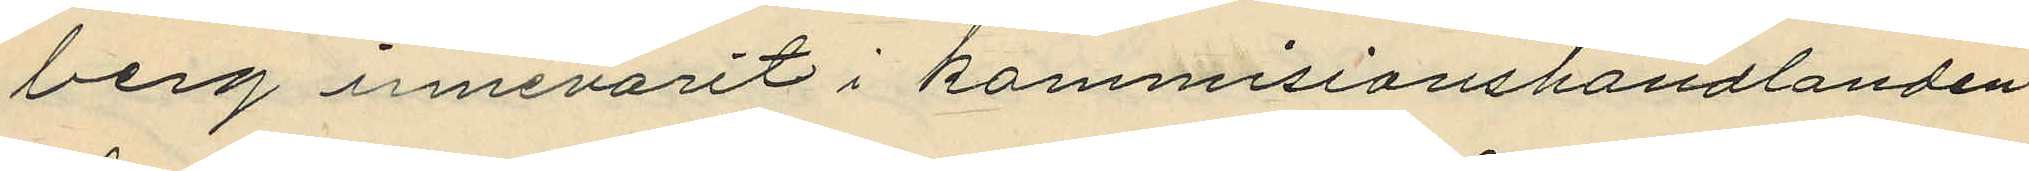berg innevarit i kommisionshandlanden
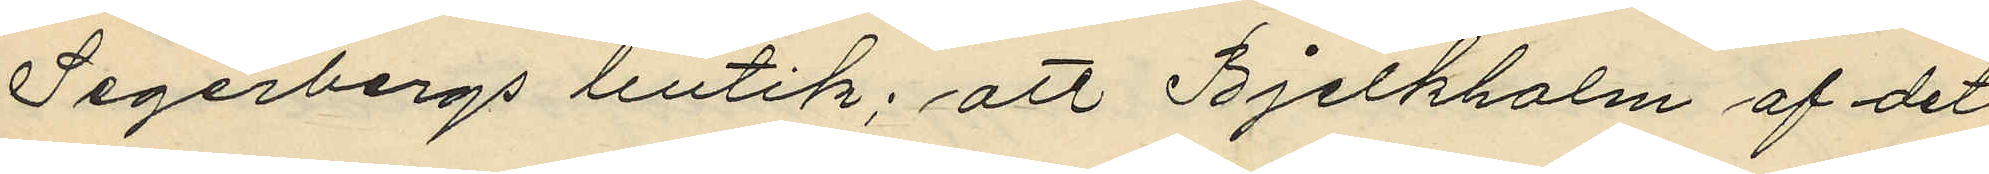Segerbergs butik; att Bjelkholm af det
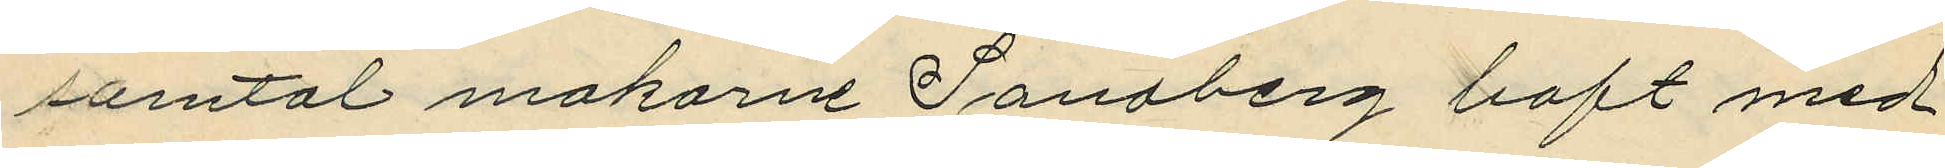samtal makarne Sandberg haft med
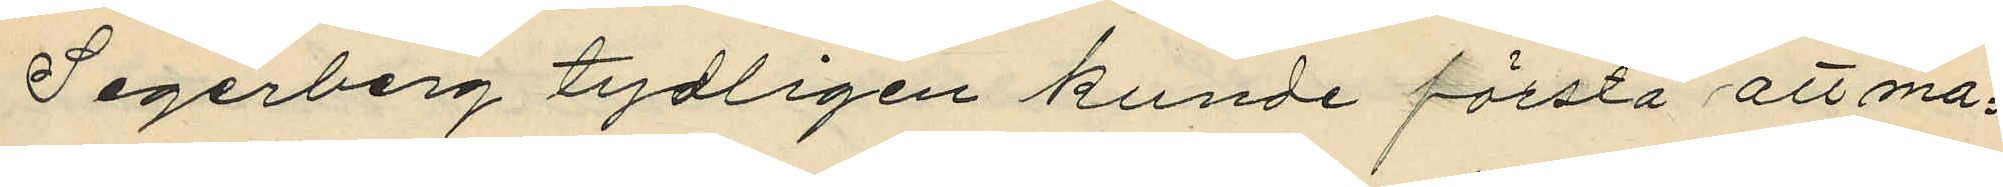Segerberg tydligen kunde förstå att ma¬
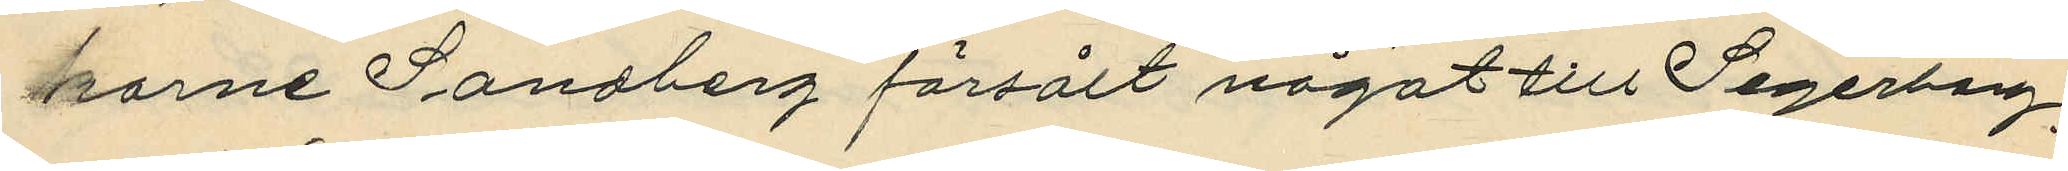karne Sandberg försålt något till Segerberg;
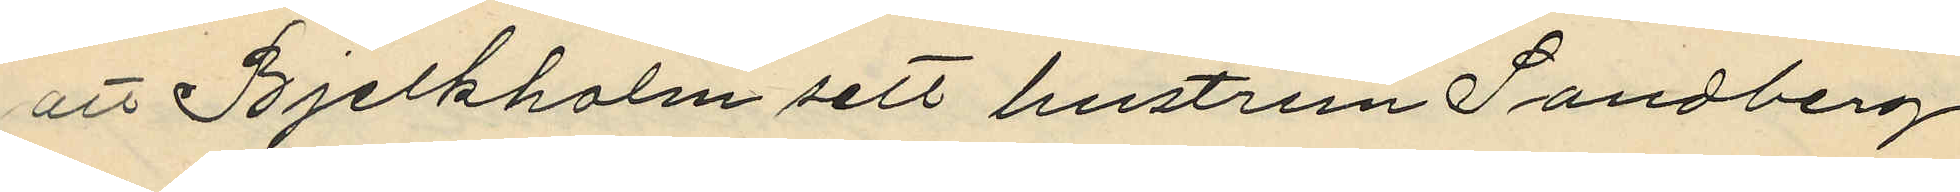att Bjelkholm sett hustrun Sandberg
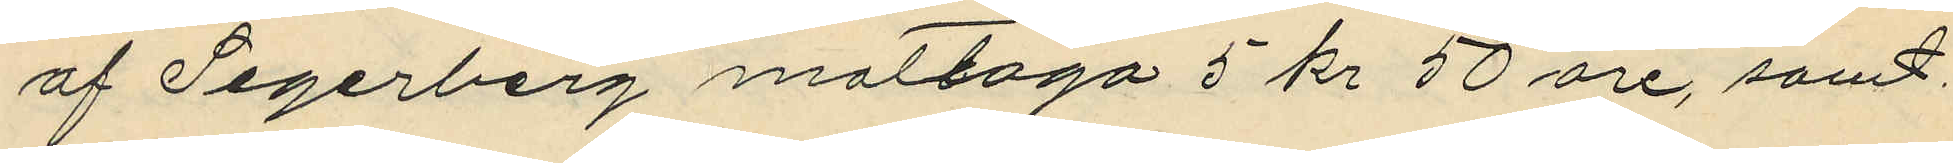af Segerberg mottaga 5 kr 50 öre, samt
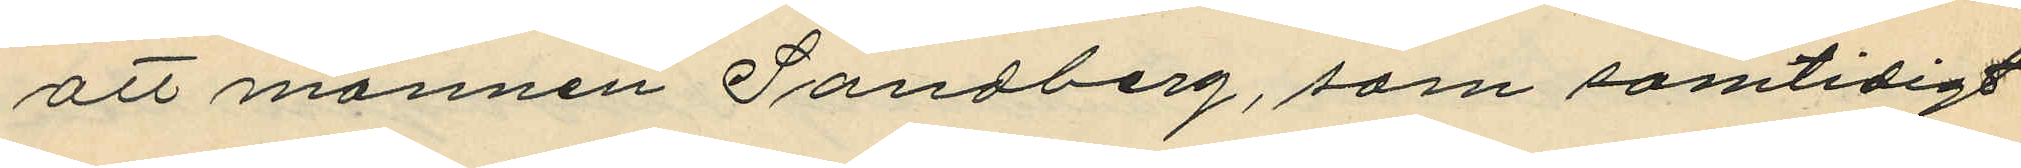att mannen Sandberg, som samtidigt
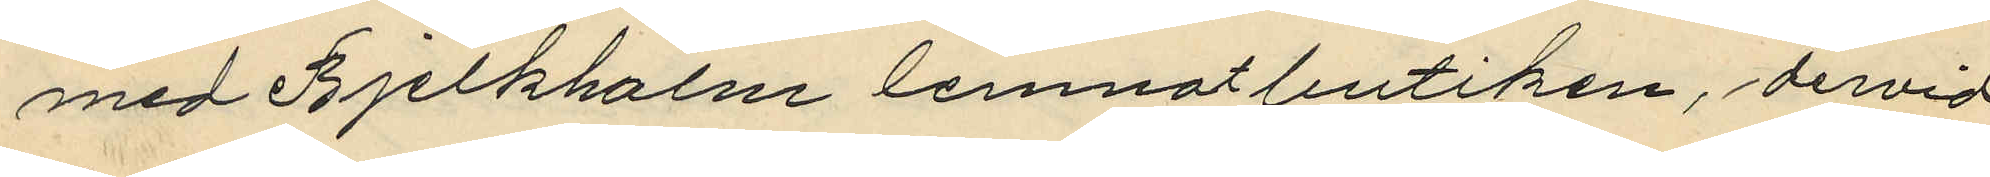med Bjelkholm lemnat butiken, dervid
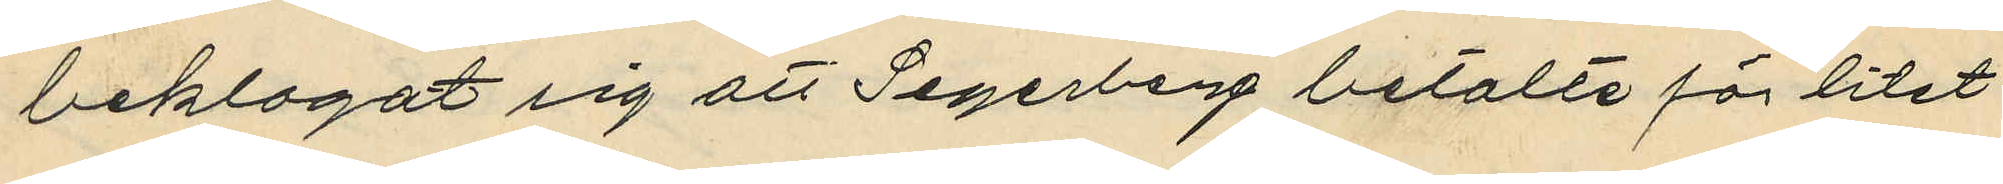beklagat sig att Segerberg betalte för litet
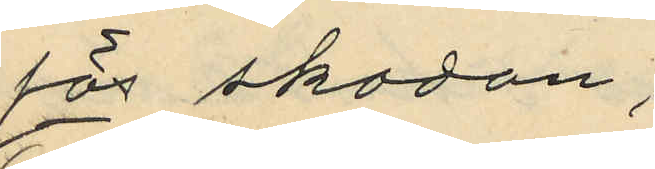för skodon;
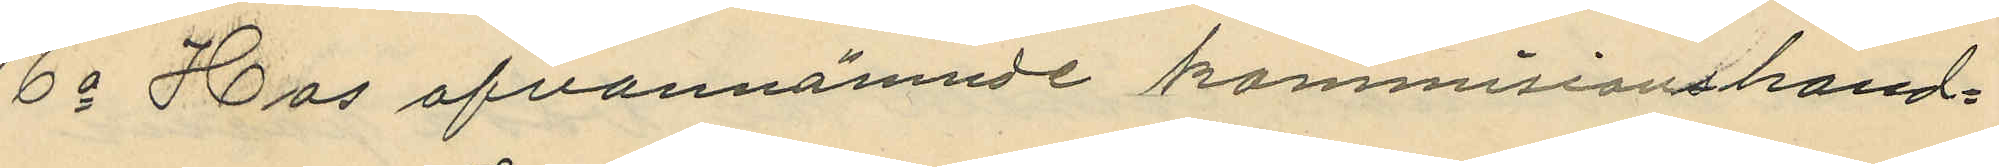6o Hos ofvannämnde kommisionshand¬
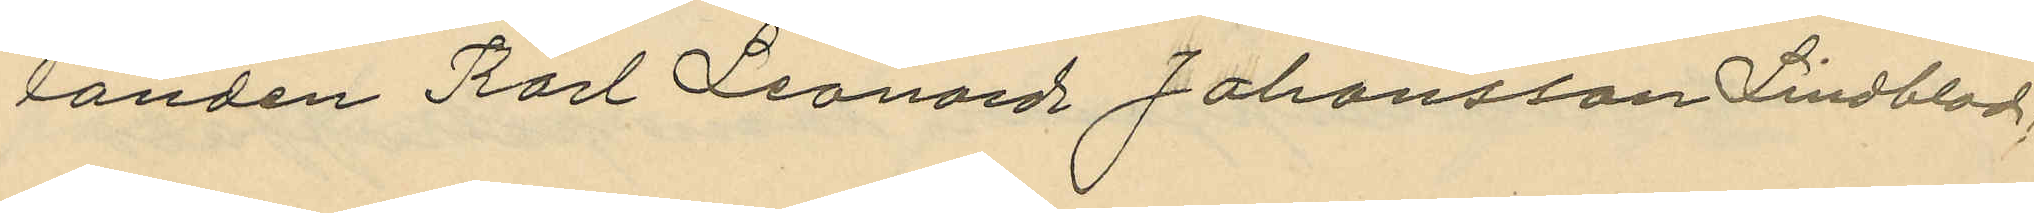landen Karl Leonard Johansson Lindblad
